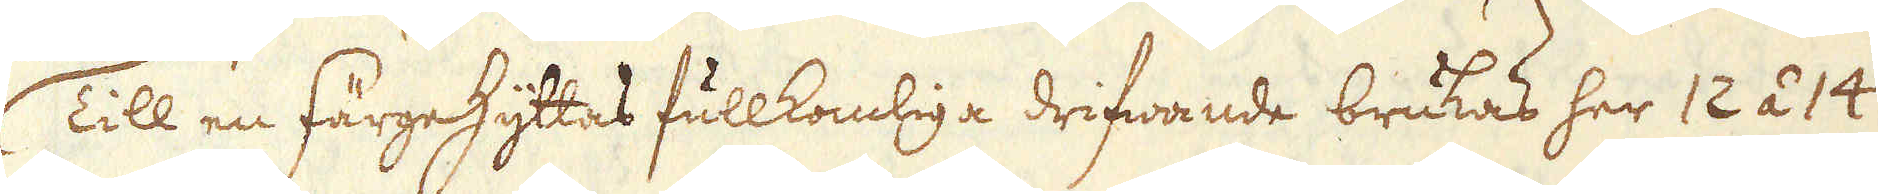Till en Färgehyttas fullkomliga drifwande brukas her 12 á 14
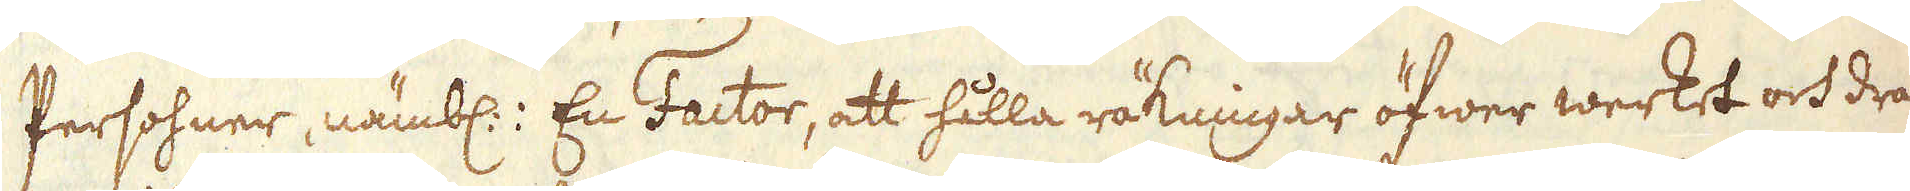Persohner, nämbl: En Factor, att hålla räknigar öfwer werket och dra-
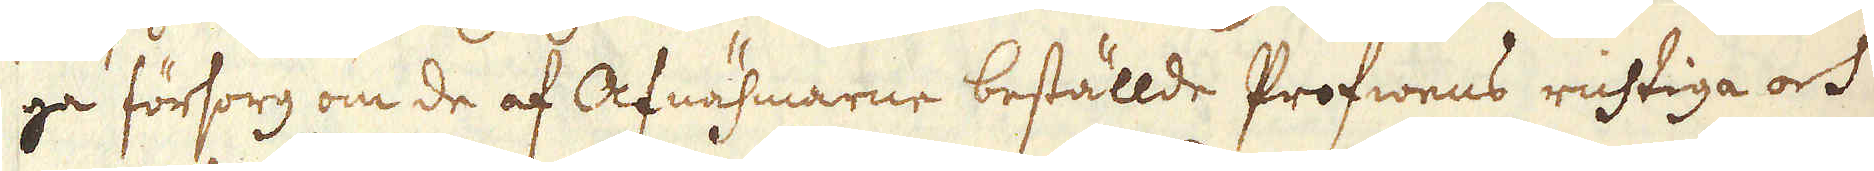ga försorg om de af Afnähmarne beställde Profwens richtiga och
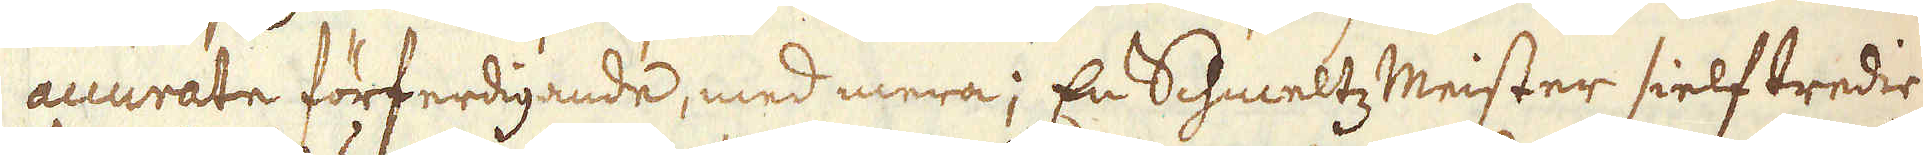accurate förferdigande, med mera; En Schmeltz Meister sielf tredie
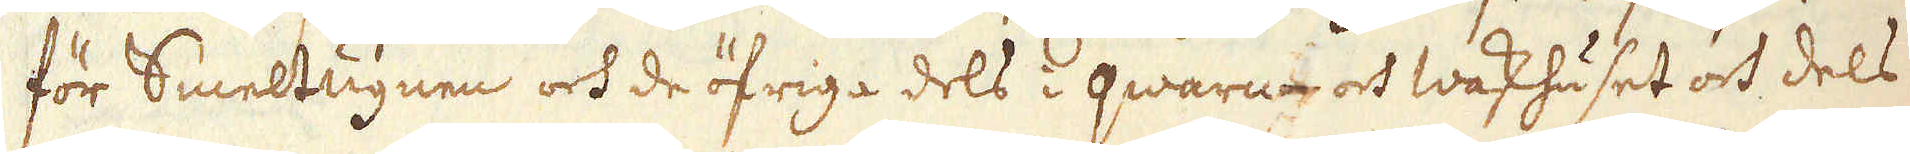för Smeltugnen och de öfriga dels i qwarn- och waskhuset och dels
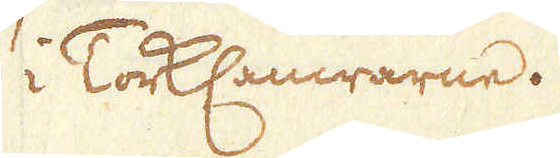i TorkCamrarne.
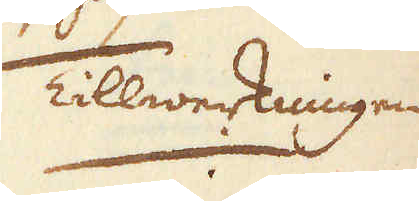Tillwerkningen
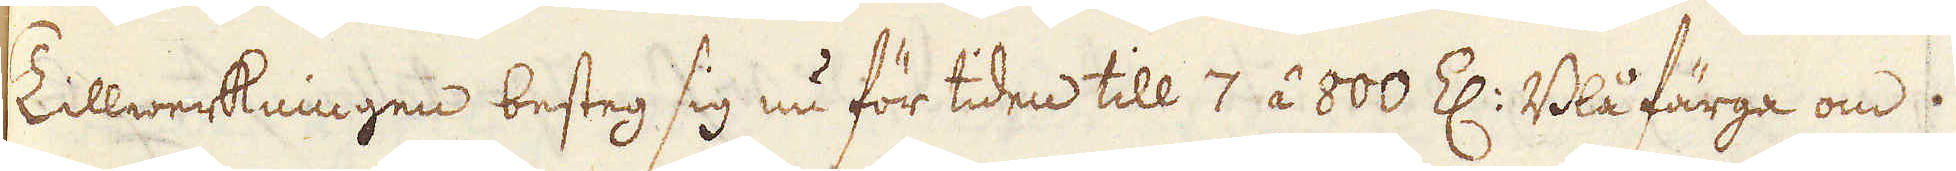Tillwerkningen besteg sig nu för tiden till 7 á 800 Z: Blå färga om
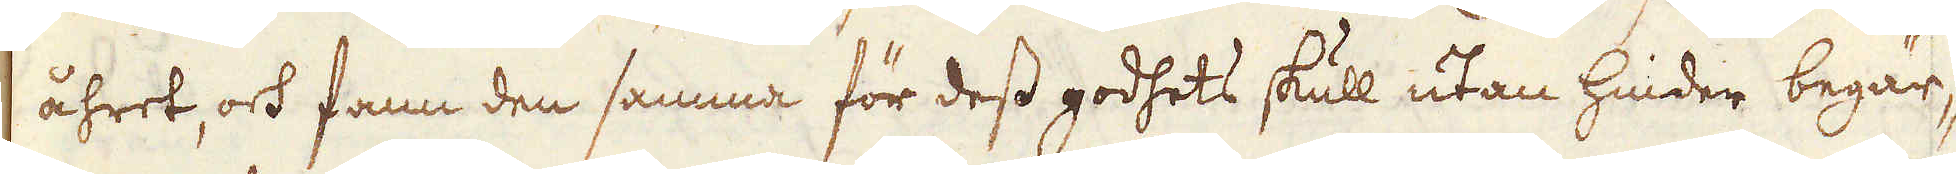åhret, och fann den samma för dess godhets skull utan hinder begär-
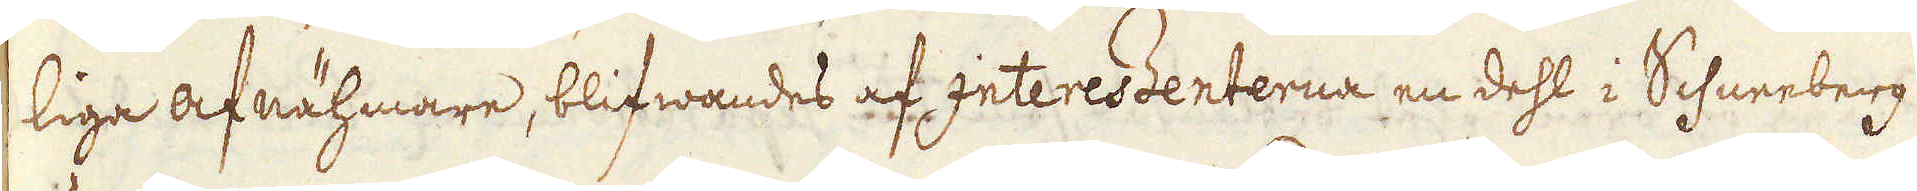liga afnähmare, blifwandes af Interessenterna en dehl i Schneeberg
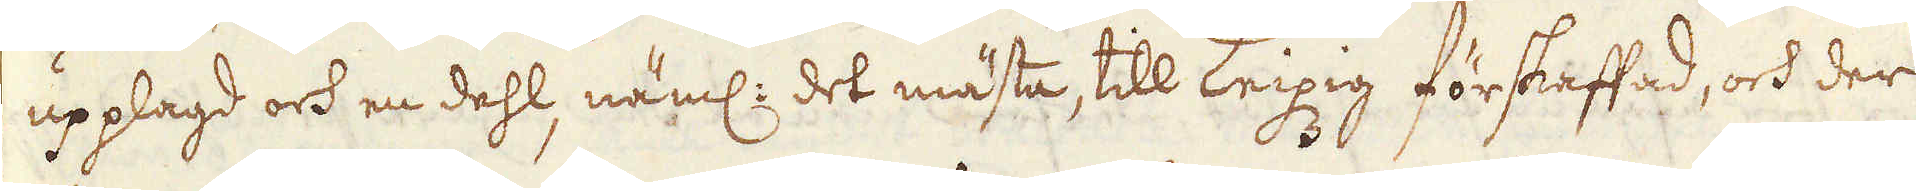upplagd och en dehl, näml: det mästa, till Lepzig förskaffad, och der
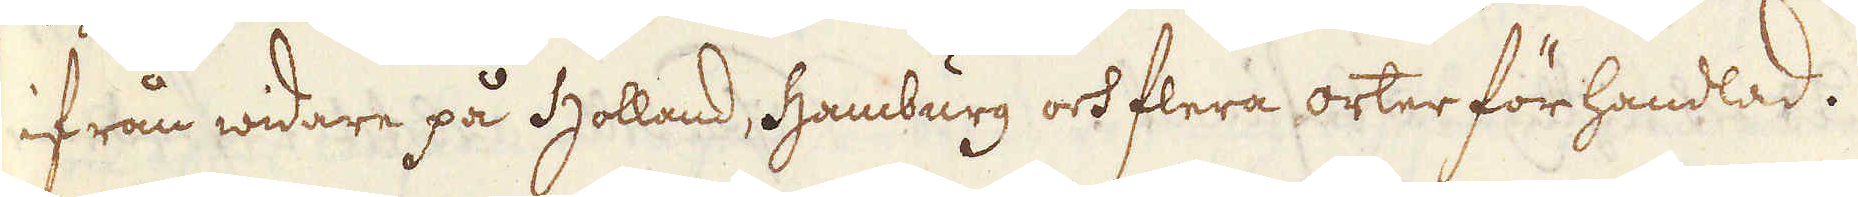ifrån widare på Holland, Hamburg och flera orter förhandlad.
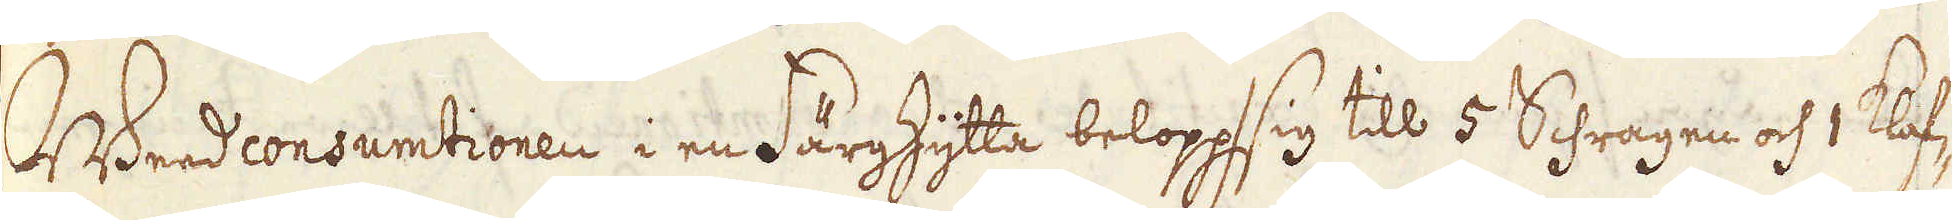Weedconsumtionen i en Färghytta belopp sig till 5 Schragen och 1 Klof-
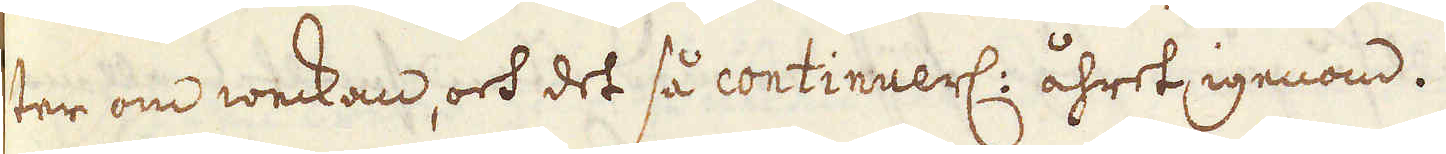ter om weckan, och det så continuerl: åhret igenom.
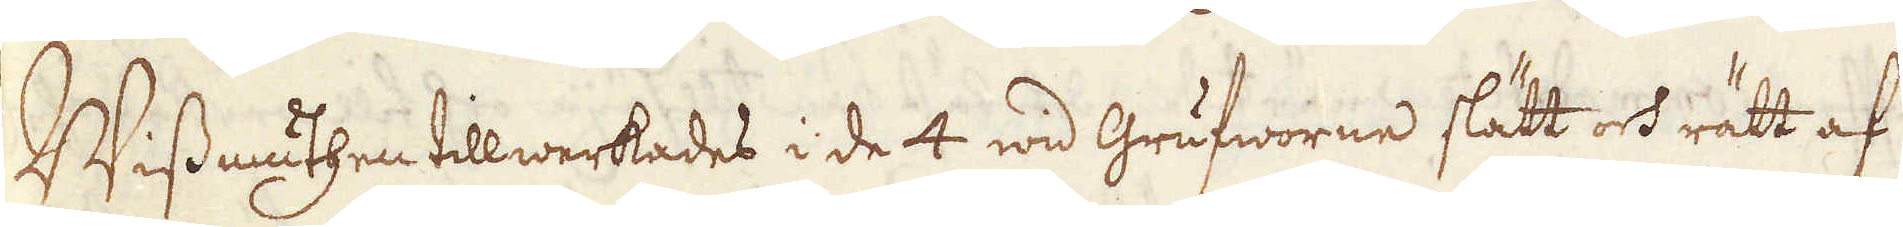Wissmuthen tillwerkades i de 4 wid Grufworne slätt och rätt af
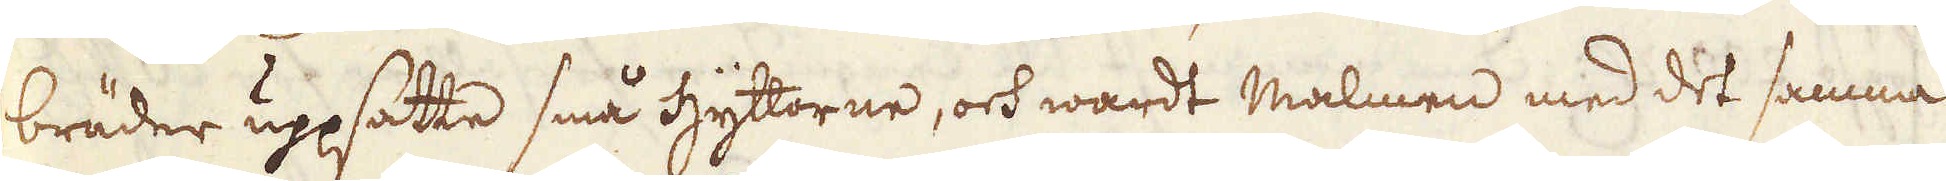bräder uppsatte små hyttorne, och wardt malmen med det samma
